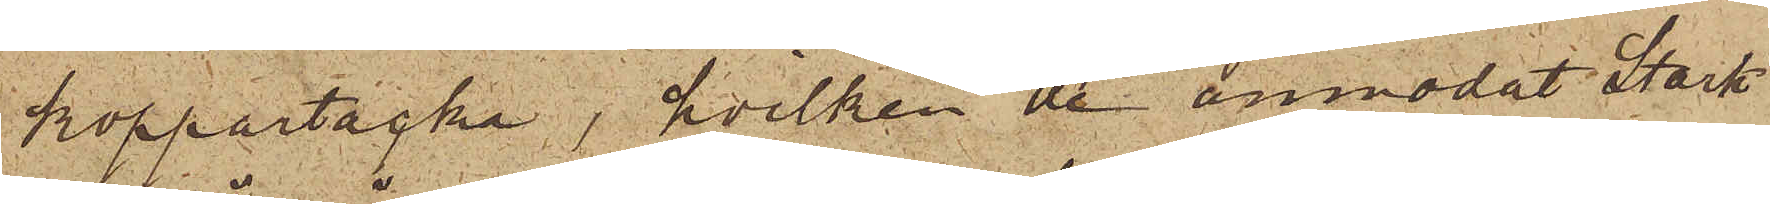koppartacka, hvilken de anmodat Stark
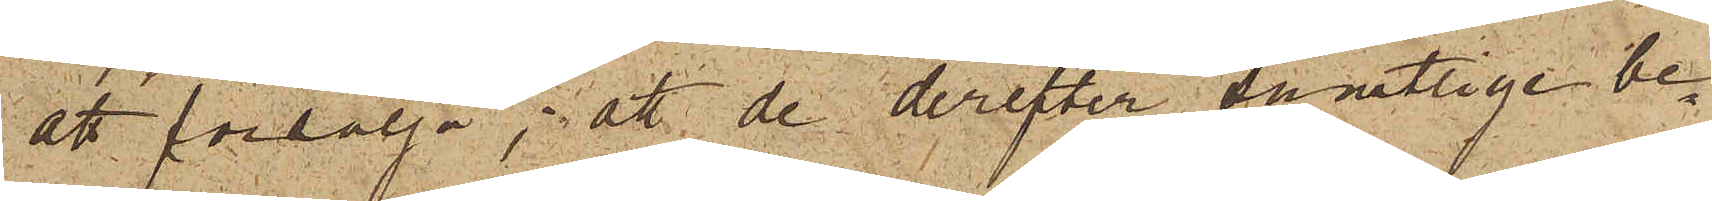att försälja; att de derefter samtlige be¬
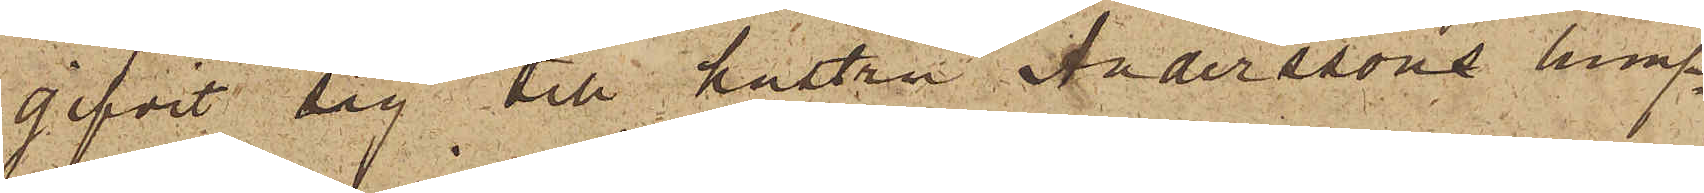gifvit sig till hustru Anderssons lump¬
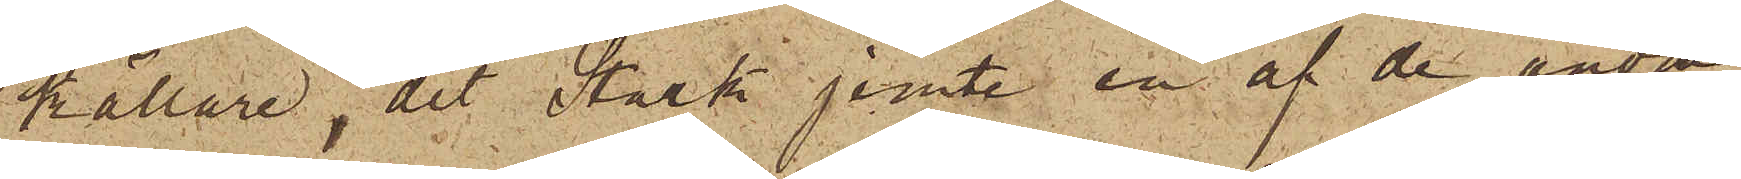källare, dit Stark jemte en af de andra
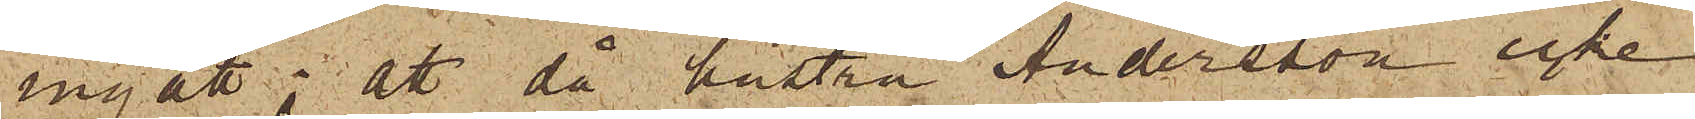ingått; att då hustru Andersson icke
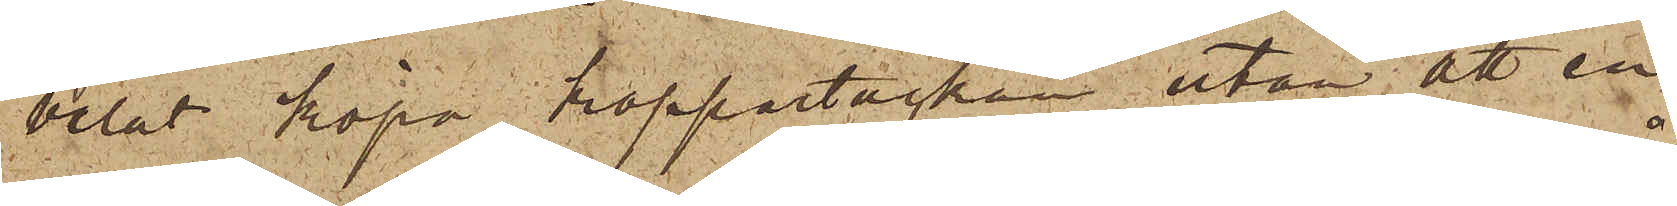velat köpa koppartackan utan att en
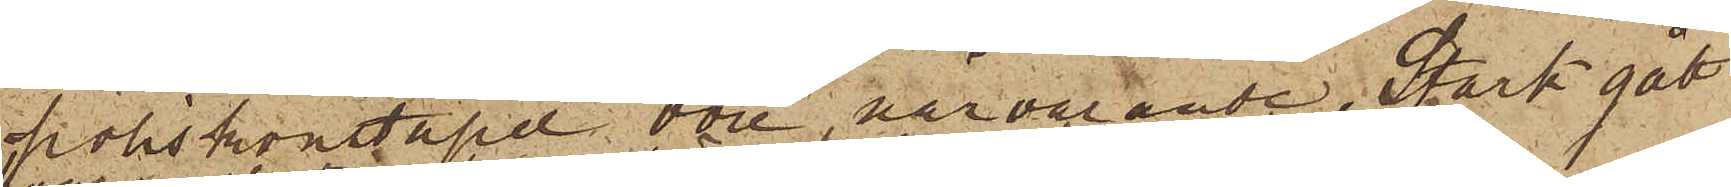poliskonstapel vore närvarande, Stark gått
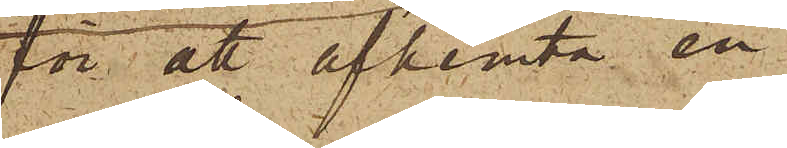för att afhemta en
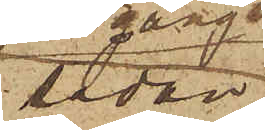sådan,
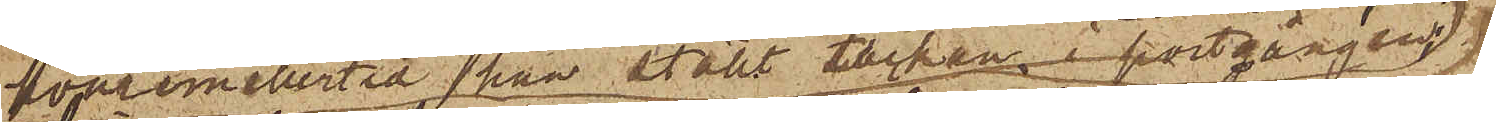hvaremellertid han ställt tackan i portgången,
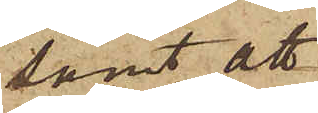samt att
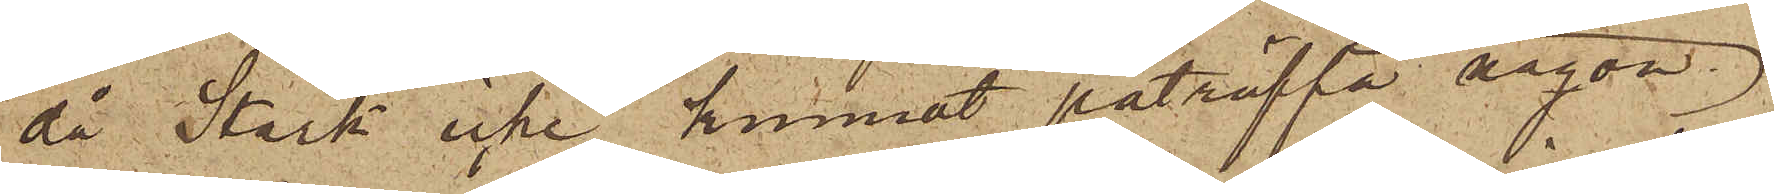då Stark icke kunnat påträffa någon
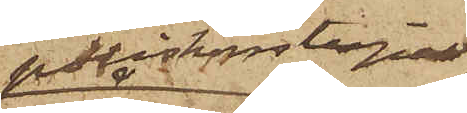poliskonstapel
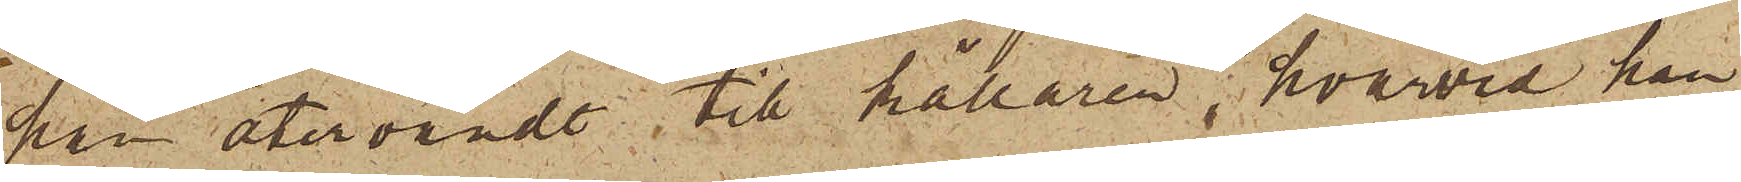han återvändt till källaren, hvarvid han
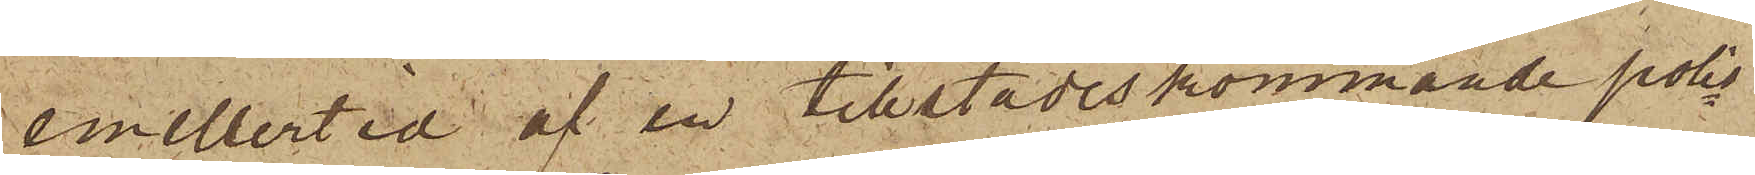emellertid af en tillstädeskommande polis¬
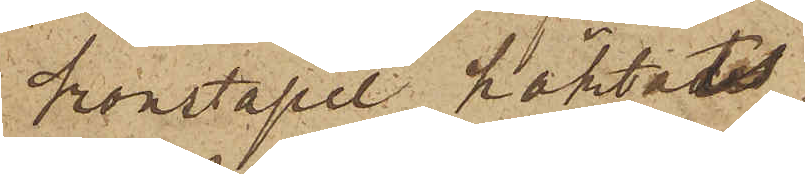konstapel häktats.
